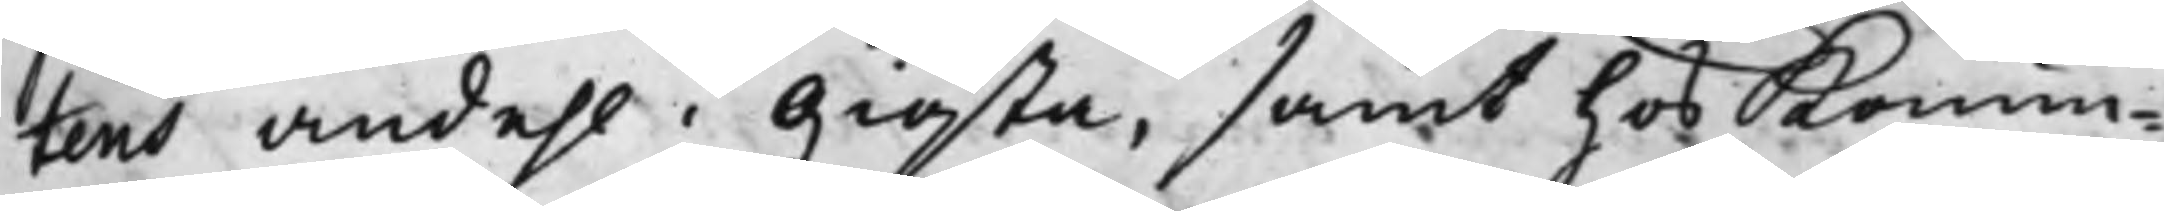tens andehl i Giösta, samt hos Konun¬
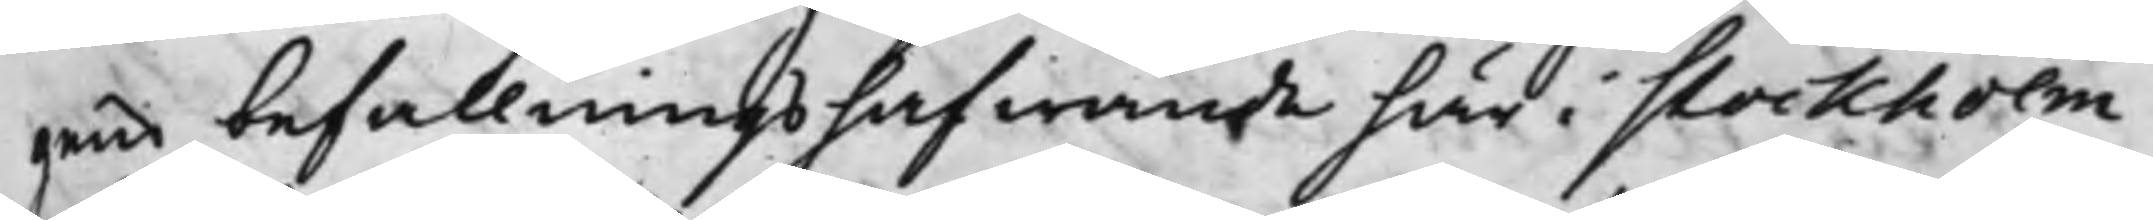gens befallningshafwande här i Stockholm
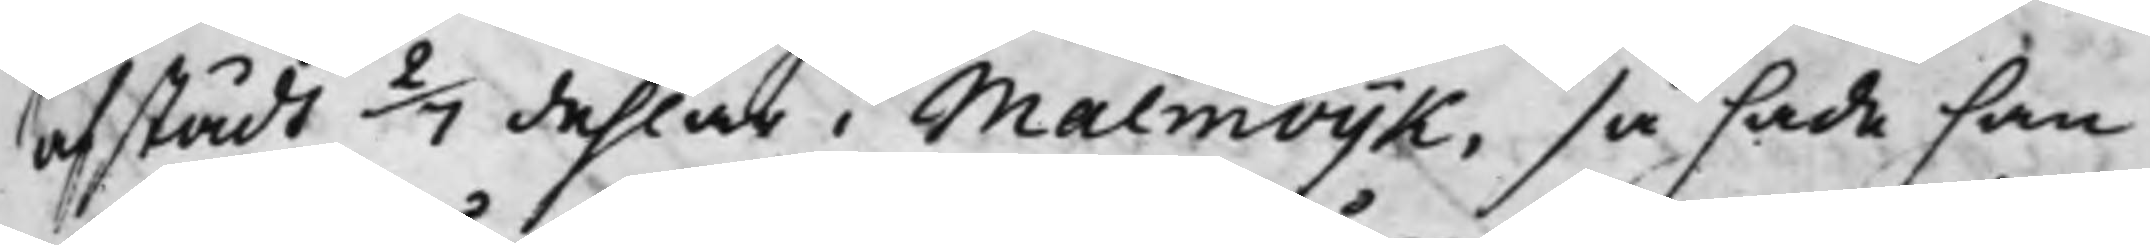afstådt 2/7 dehlar i Malmvijk, så hade han
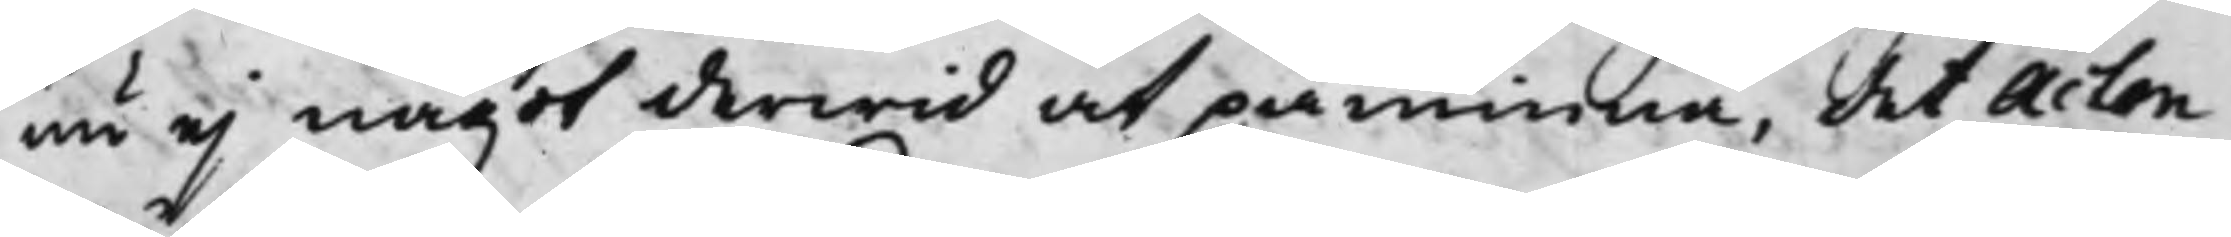nu ej något derwid at påminna, det Acten
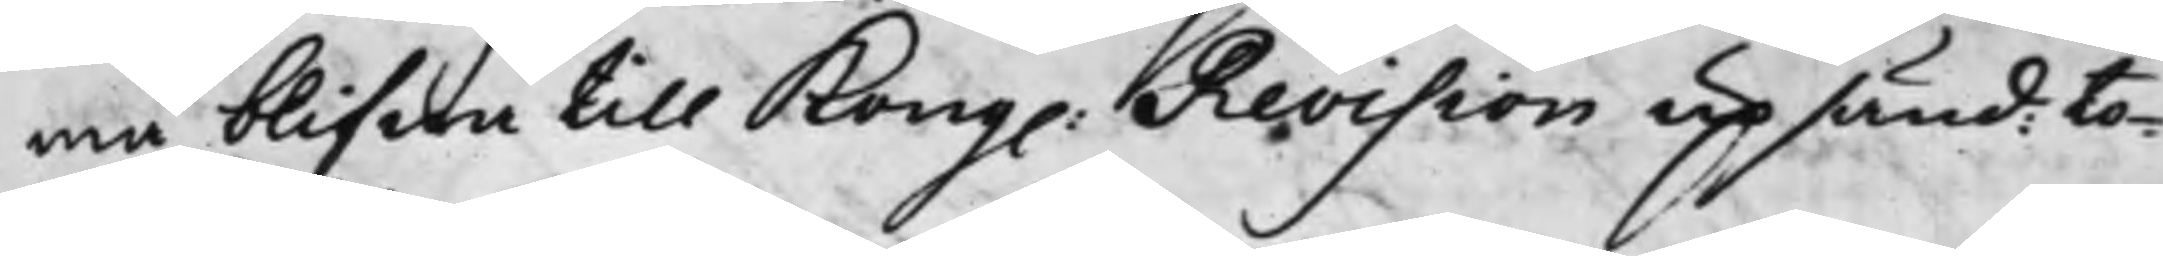ma blifwa till Kong. Revision upsänd: to¬
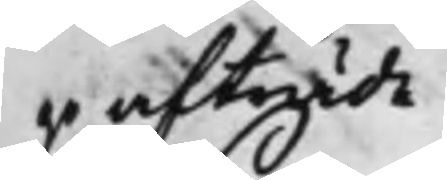go afträde
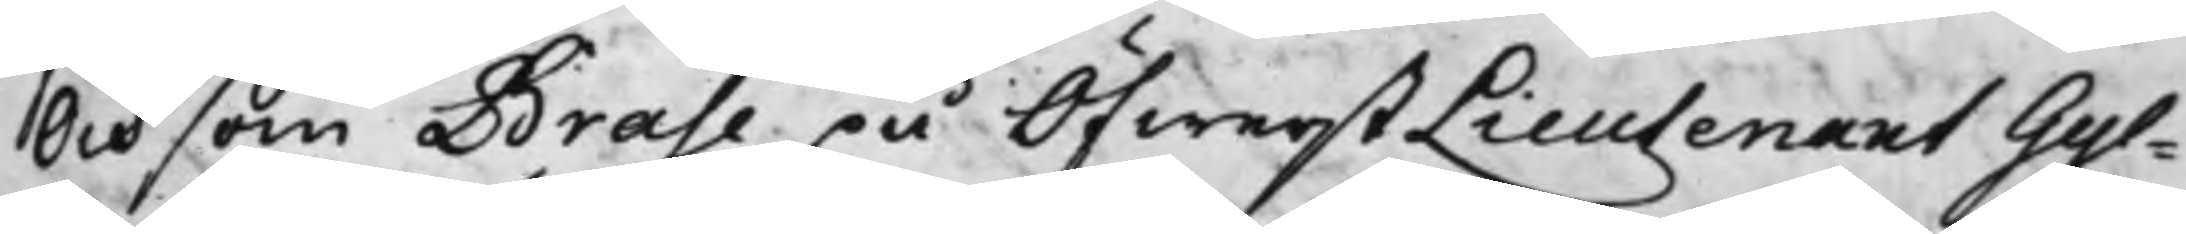Och som Brahe på ÖfwerstLieutenant Gyl¬
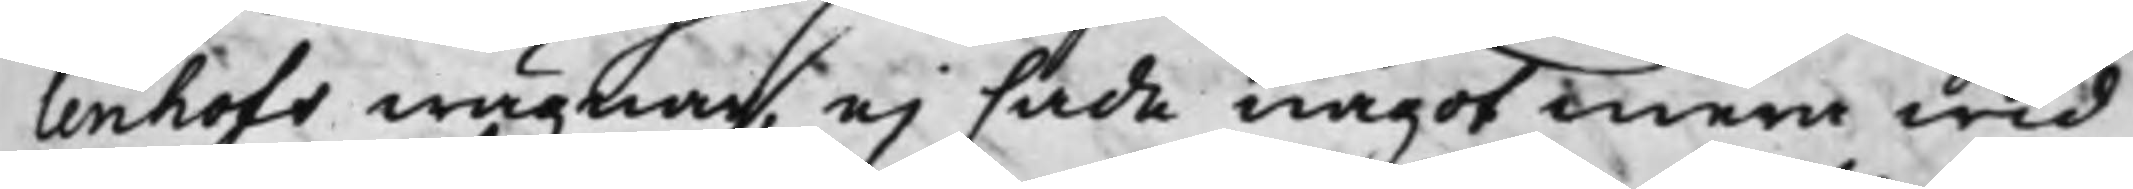lenhofs wägnar, ej hade något mera wid
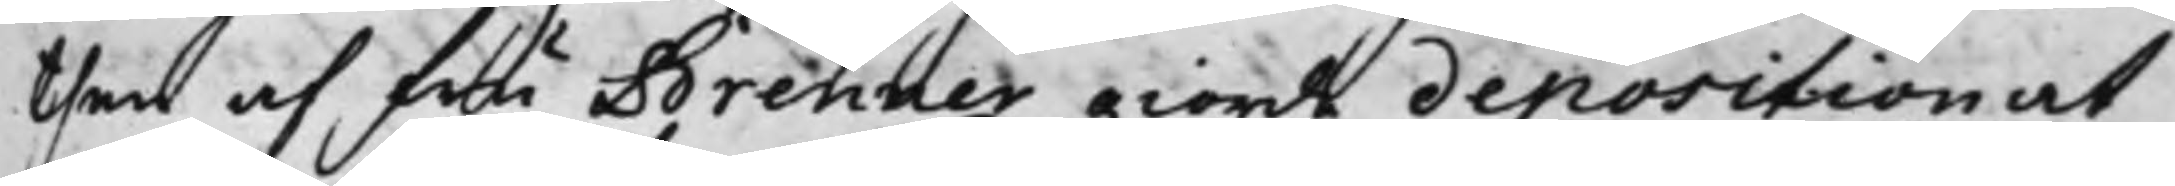then af fru Brenner giorde deposition at
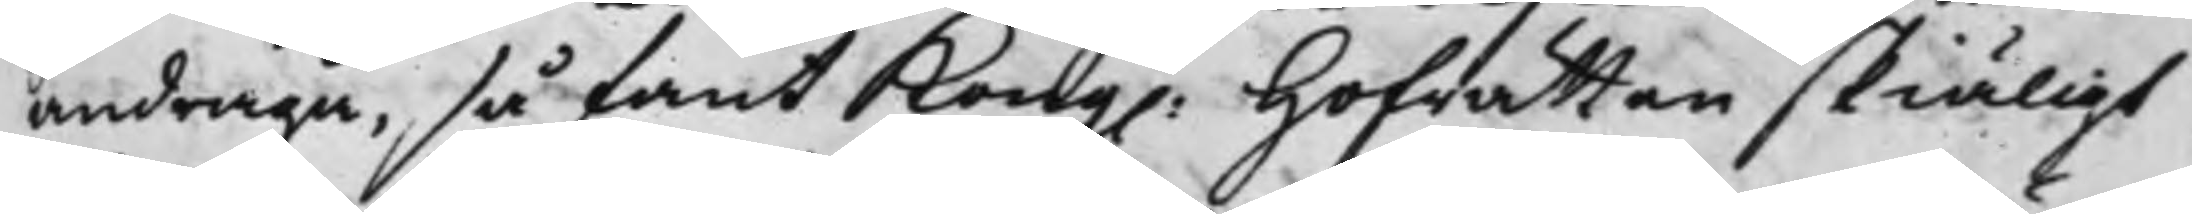andraga, så fant Kong. Hofrätten skiäligt
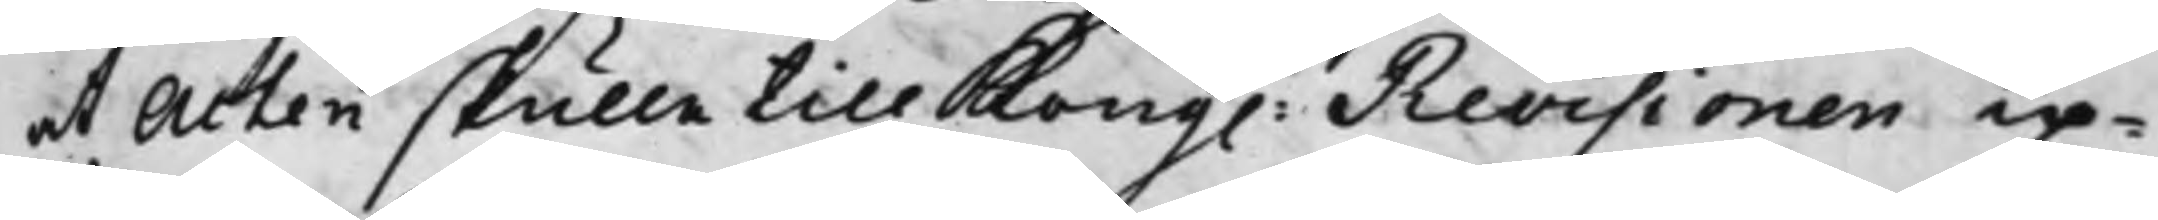at Acten skulle till Kong. Revisionen up¬
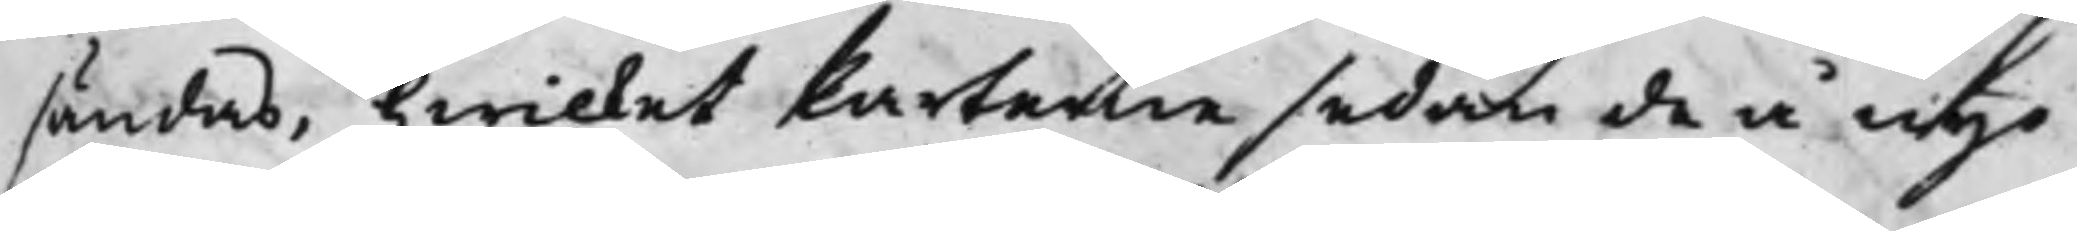sändas, hwilket Parterne sedan de å nyo
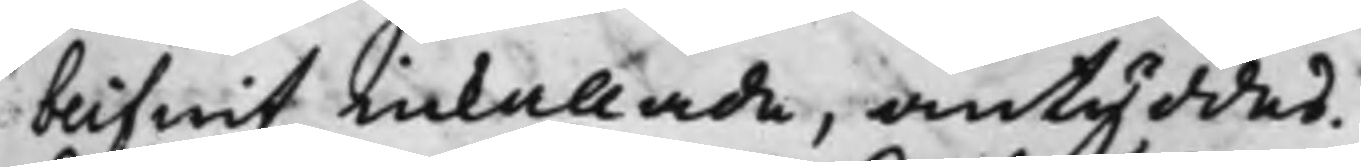blifwit inkallade, antyddes.
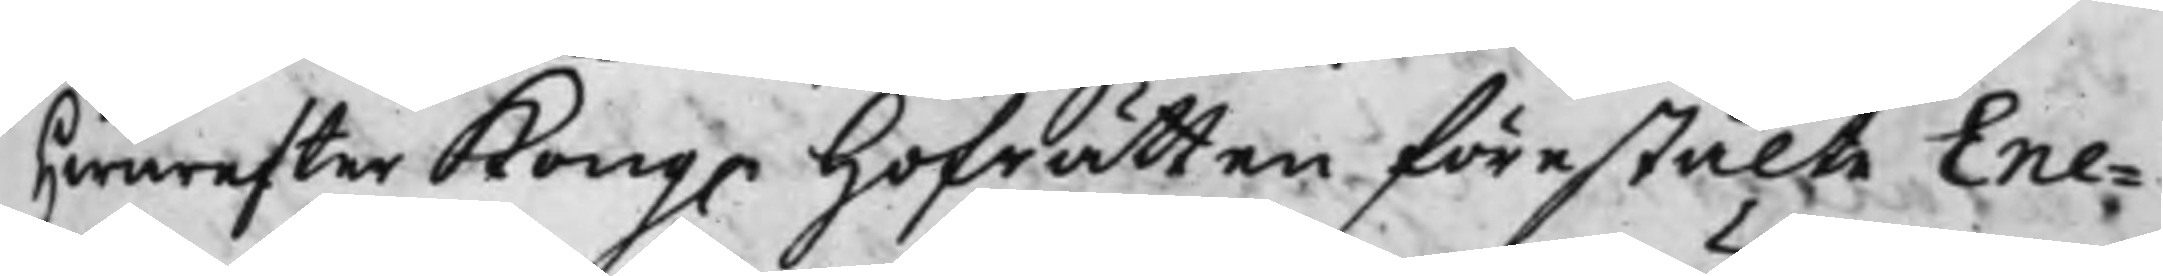Hwarefter Kong. Hoffrätten förestälte Ene¬
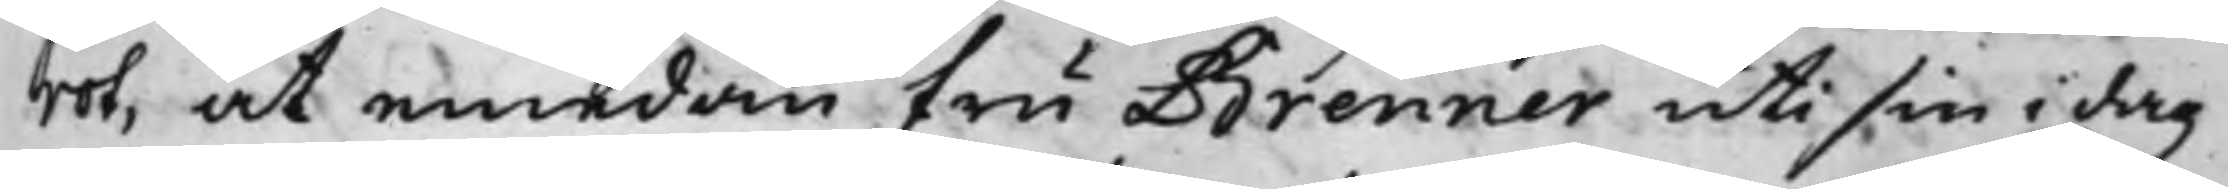rot, at emedan fru Brenner uti sin i dag
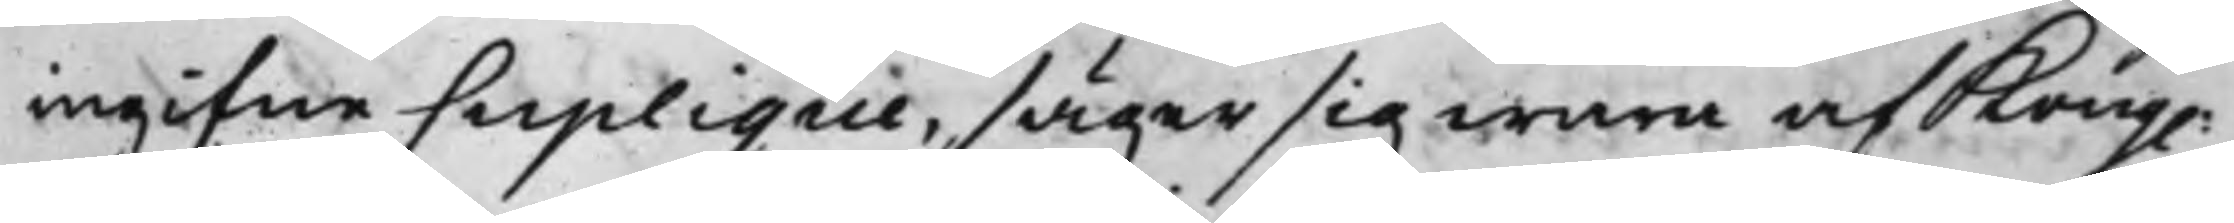ingifne Suplique, säger sig wara af Kong.
